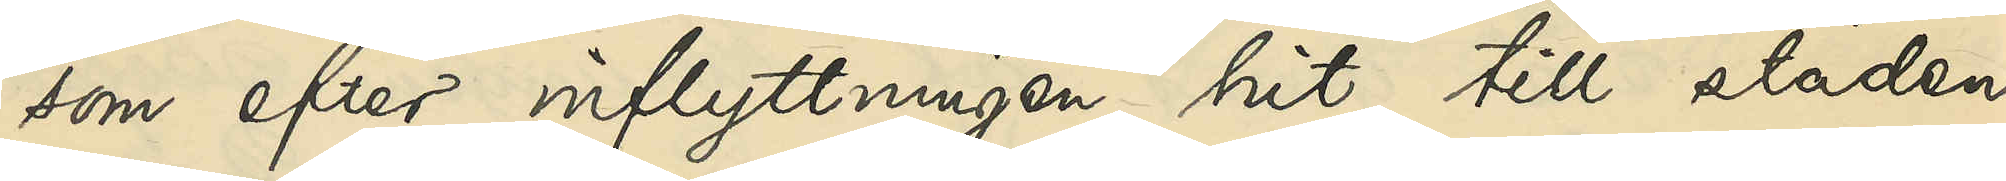som efter inflyttningen hit till staden
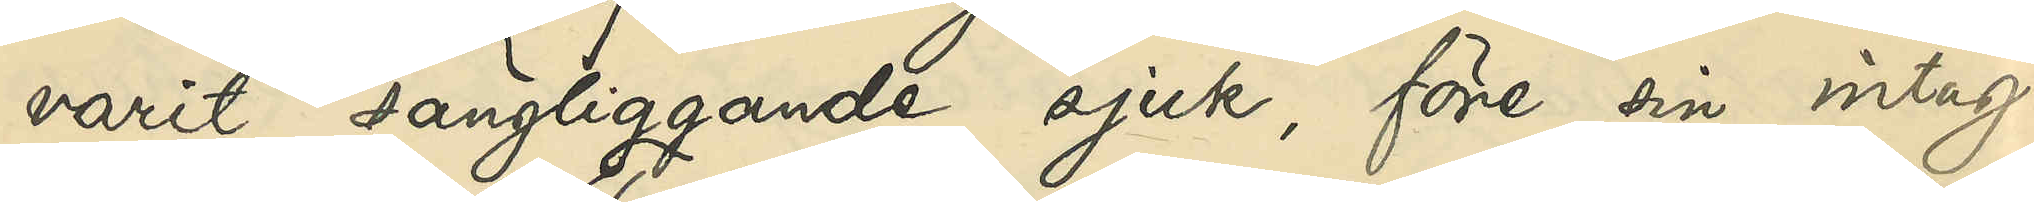varit sängliggande sjuk, före sin intag¬
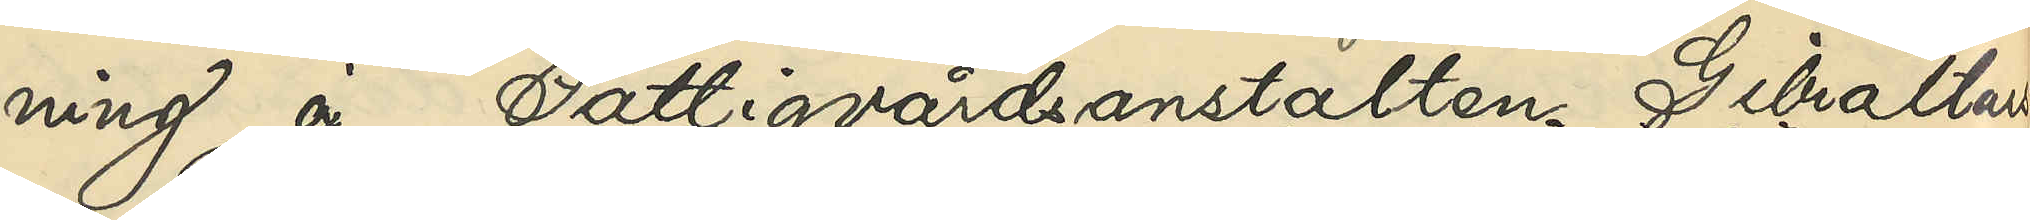ning å Fattigvårdsanstalten Gibraltars
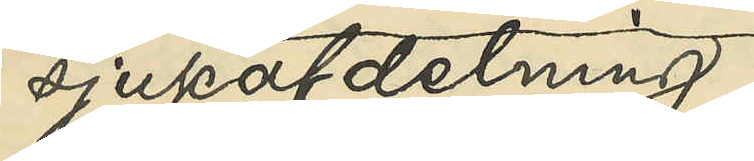sjukafdelning
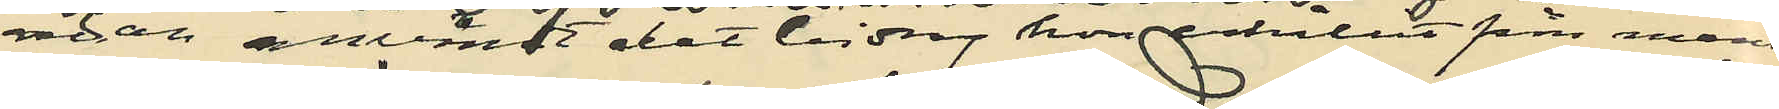 redan användt det bidrag hon erhållit från mannen
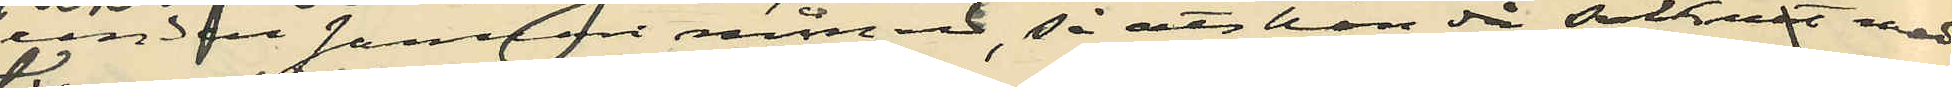under Januari månad, så att hon då saknat medel
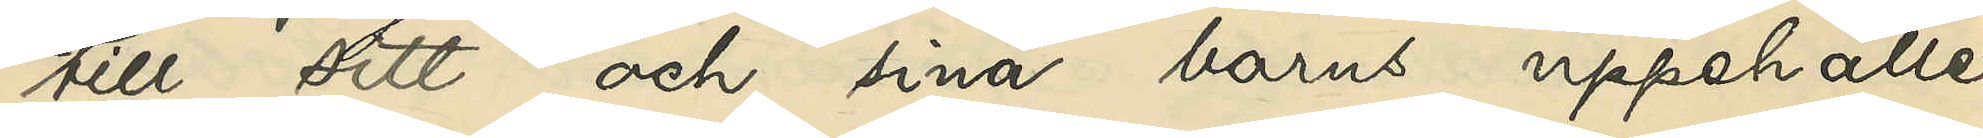till sitt och sina barns uppehälle,
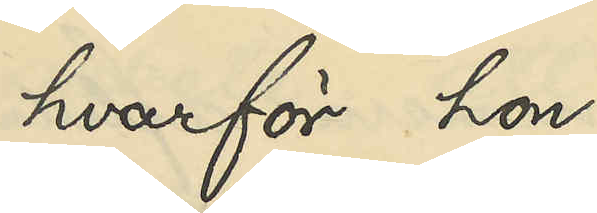hvarför hon
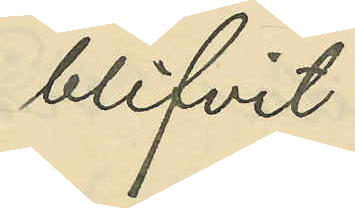blifvit
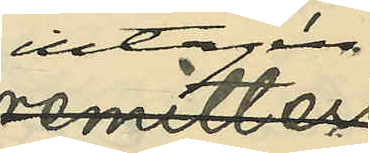intagen å
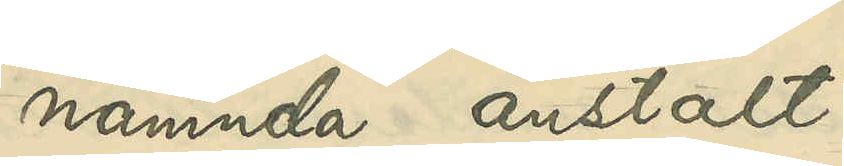nämnda anstalt.
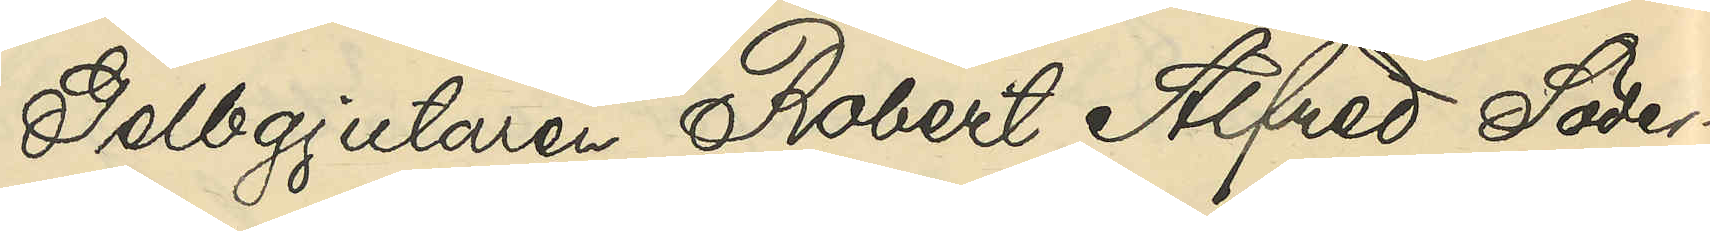Gelbgjutaren Robert Alfred Söder¬
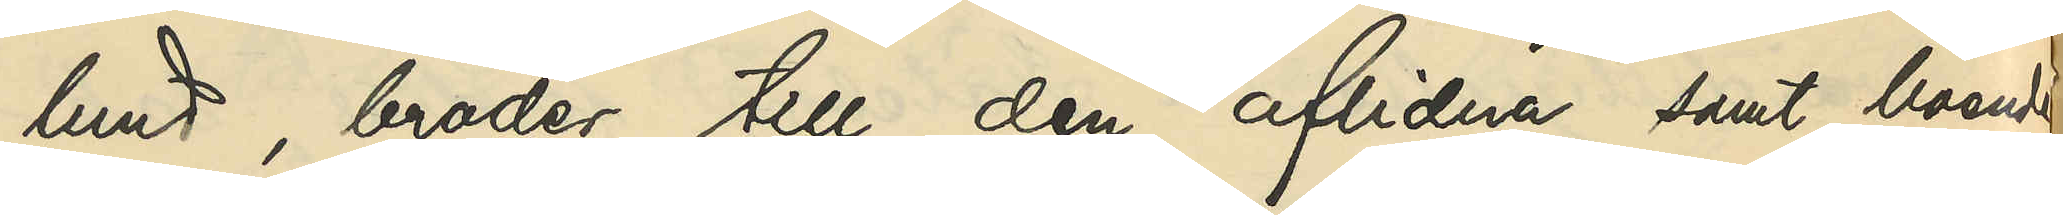lund, broder till den aflidna samt boende
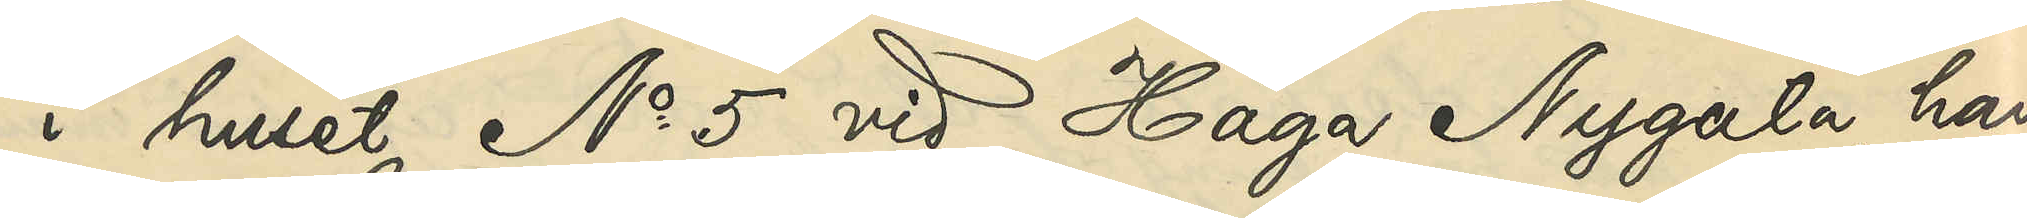i huset No 5 vid Haga Nygata, har
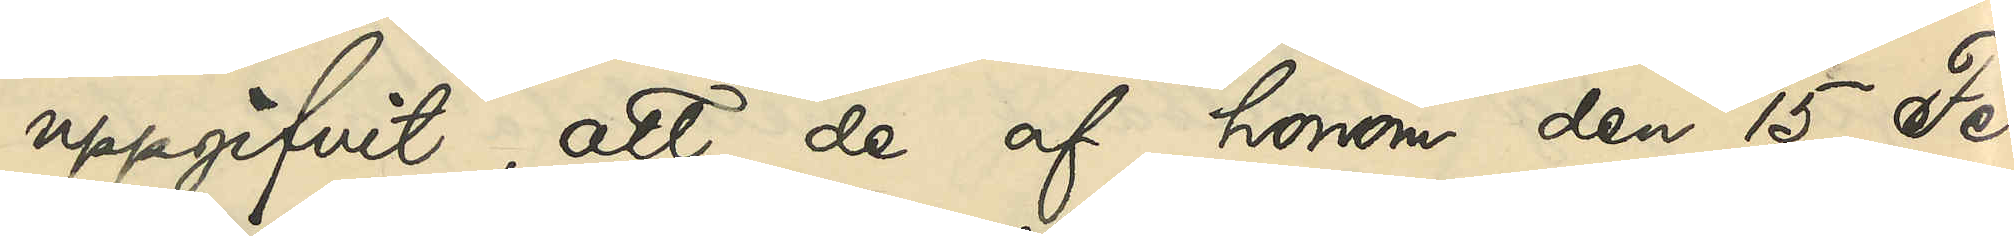uppgifvit, att de af honom den 15 Fe¬
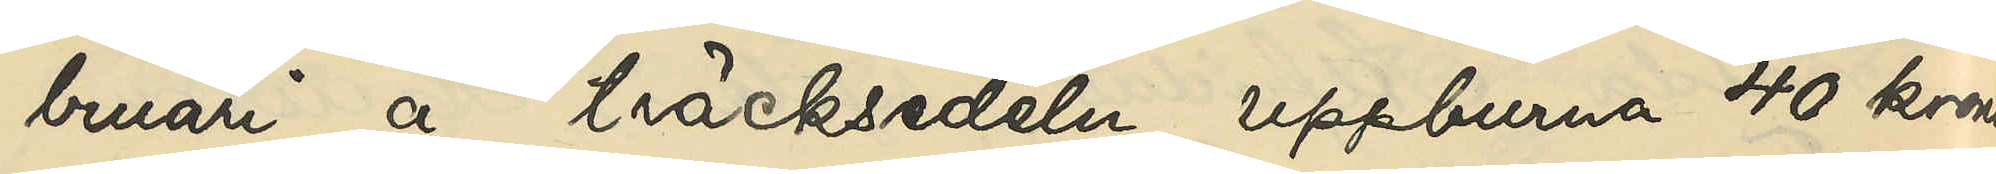bruari å träcksedeln uppburna 40 kronor
